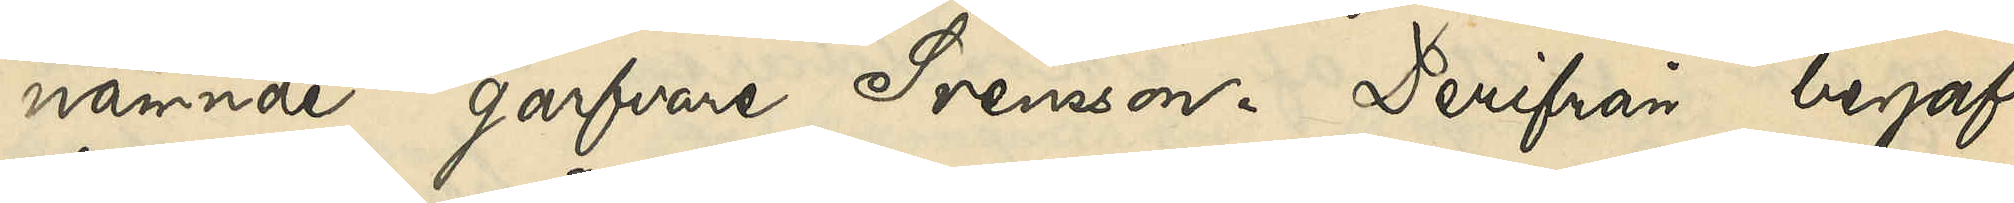nämnde garfvare Svensson. Derifrån begaf
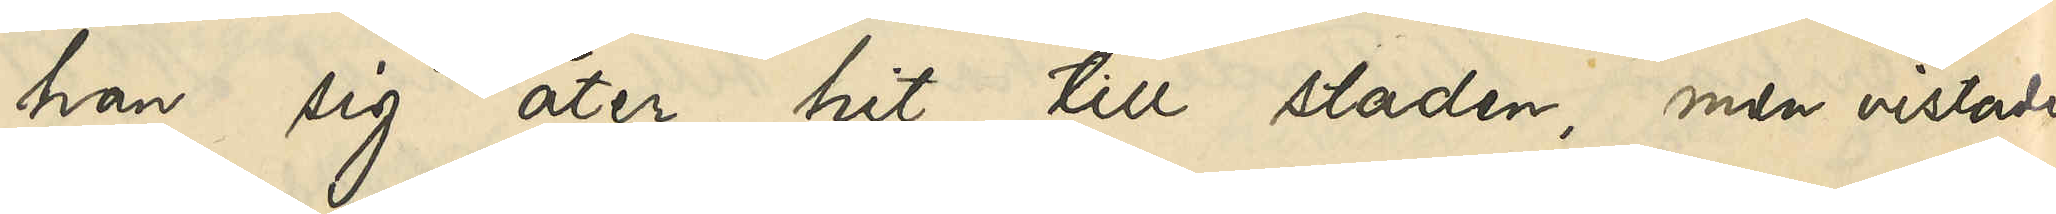han sig åter hit till staden, men vistades
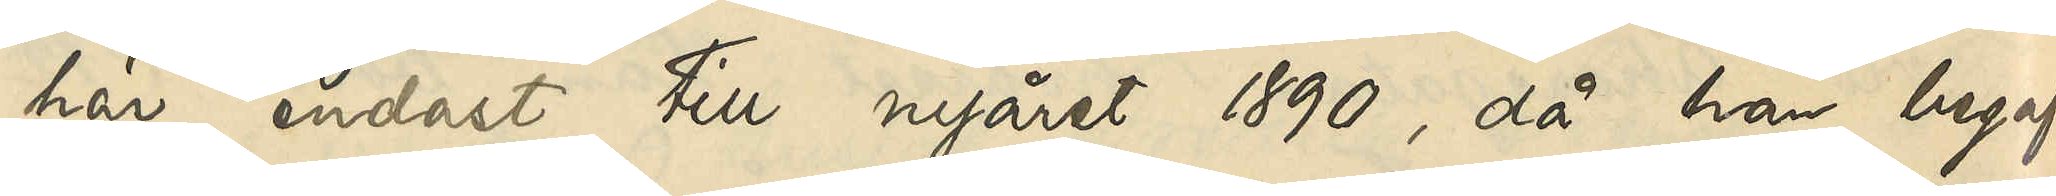här endast till nyåret 1890, då han begaf
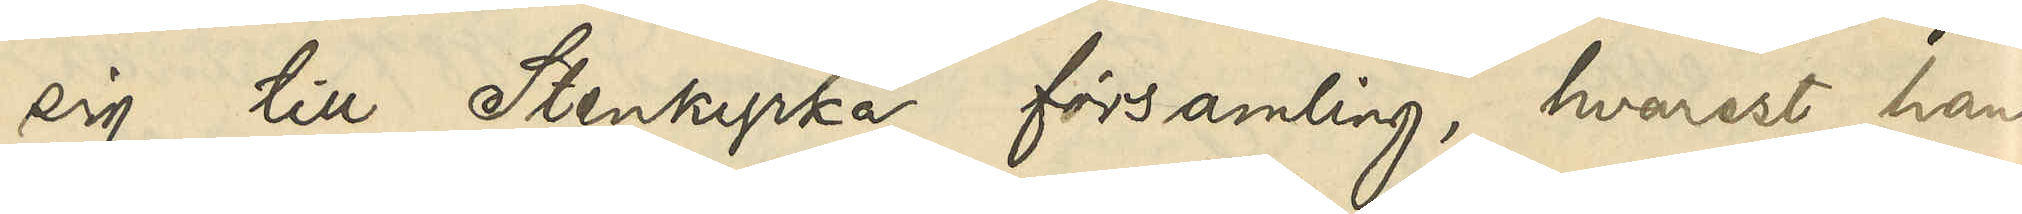sig till Stenkyrka församling, hvarest han
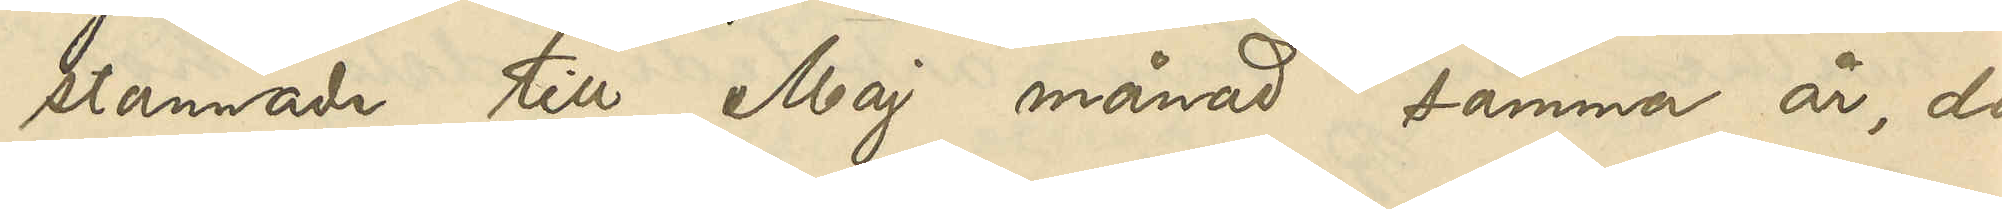stannade till Maj månad samma år, då
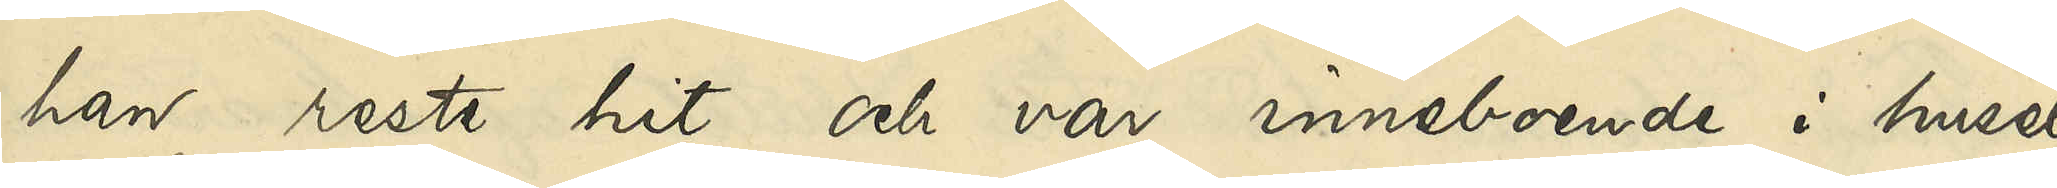han reste hit och var inneboende i huset
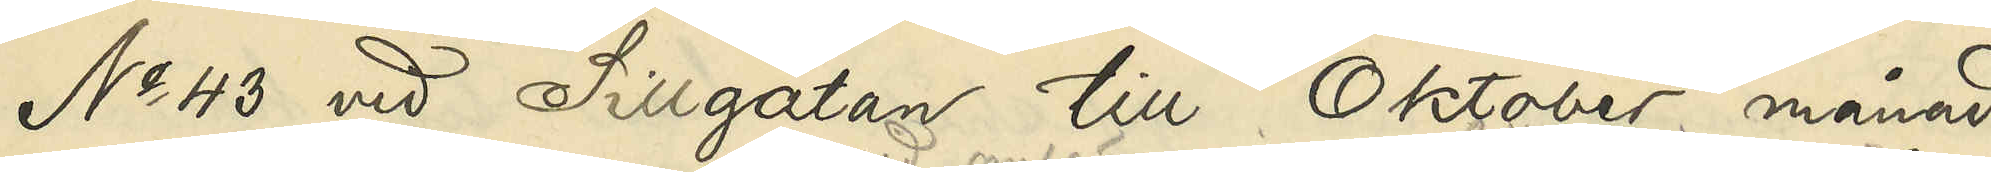No 43 vid Sillgatan till Oktober månad
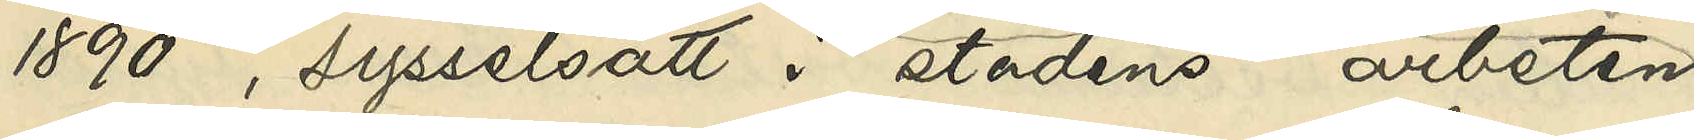1890, sysselsatt i stadens arbeten
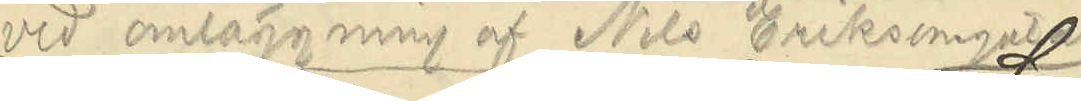vid omläggning af Nils Erikssonsgatan.
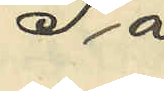Så
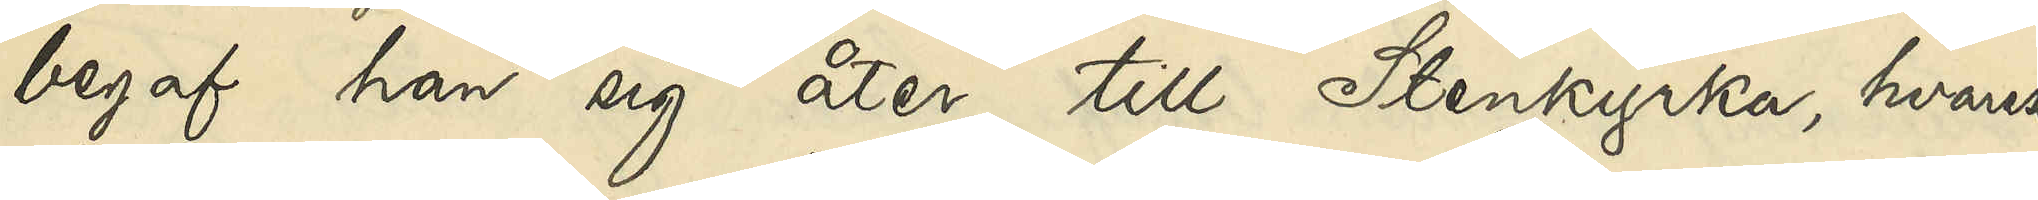begaf han sig åter till Stenkyrka, hvarest
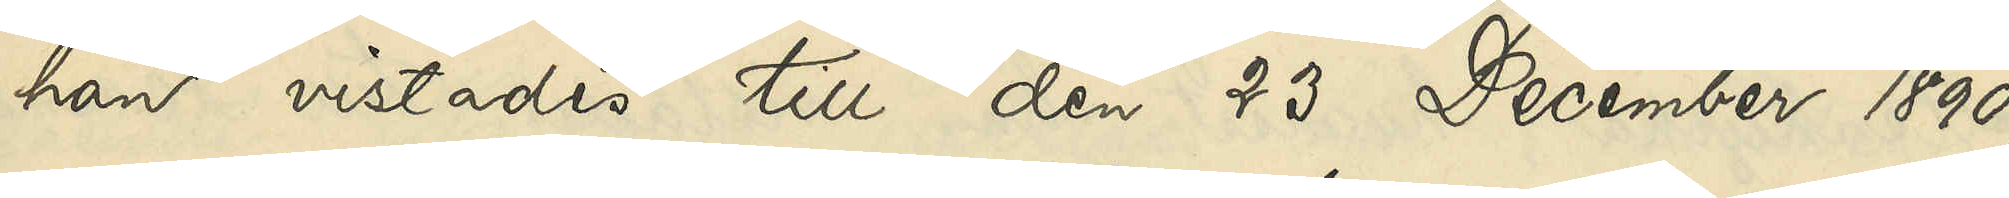han vistades till den 23 December 1890,
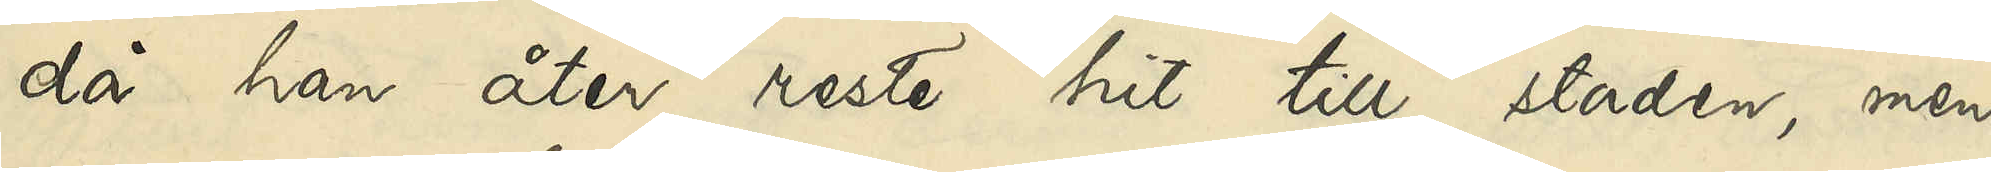då han åter reste hit till staden, men
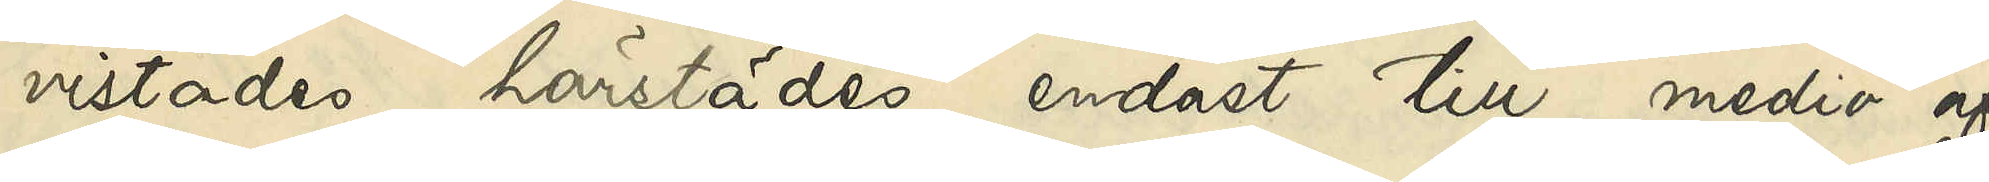vistades härstädes endast till medio af
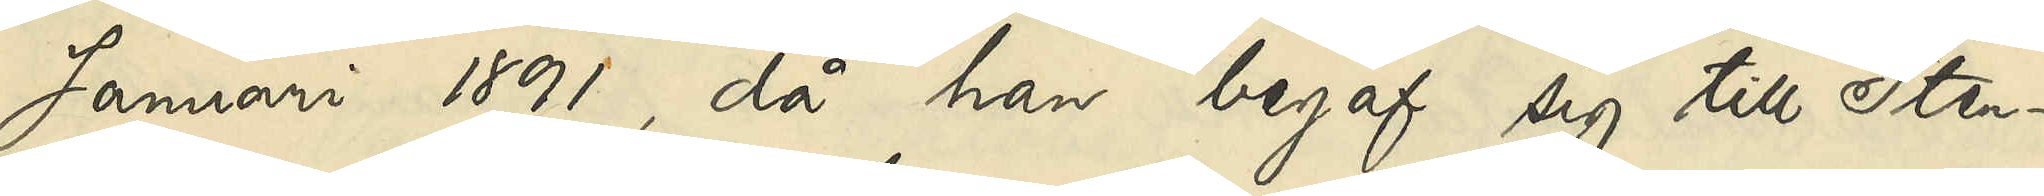Januari 1891, då han begaf sig till Sten¬
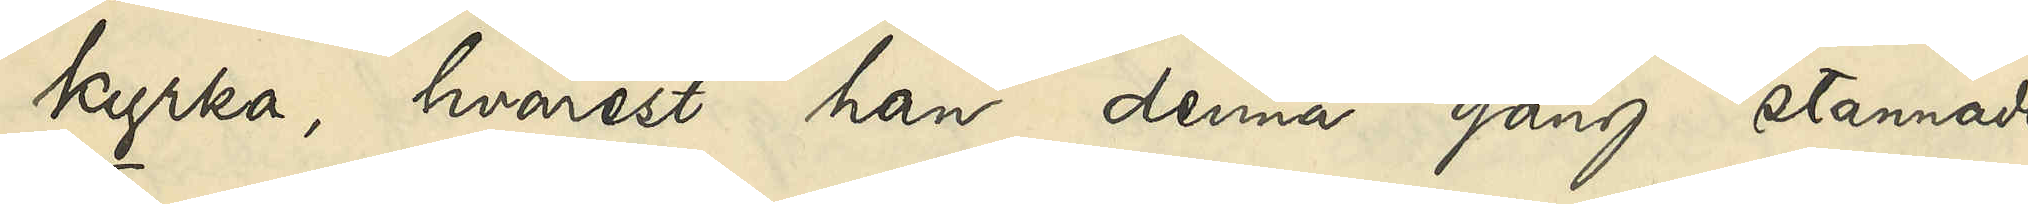kyrka, hvarest han denna gång stannade
